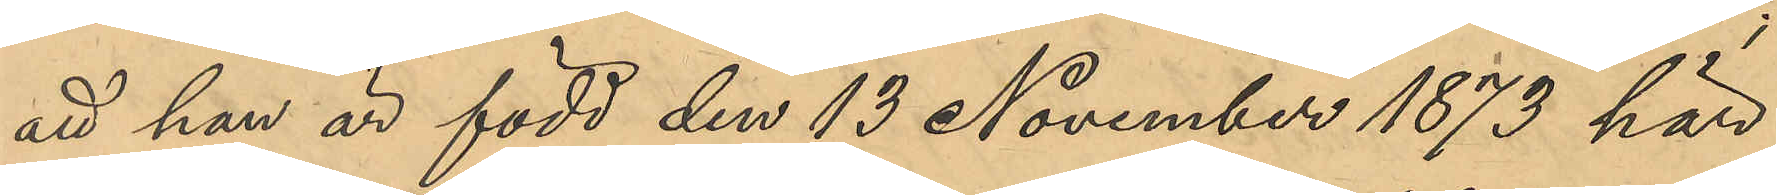att hon är född den 13 November 1873 här
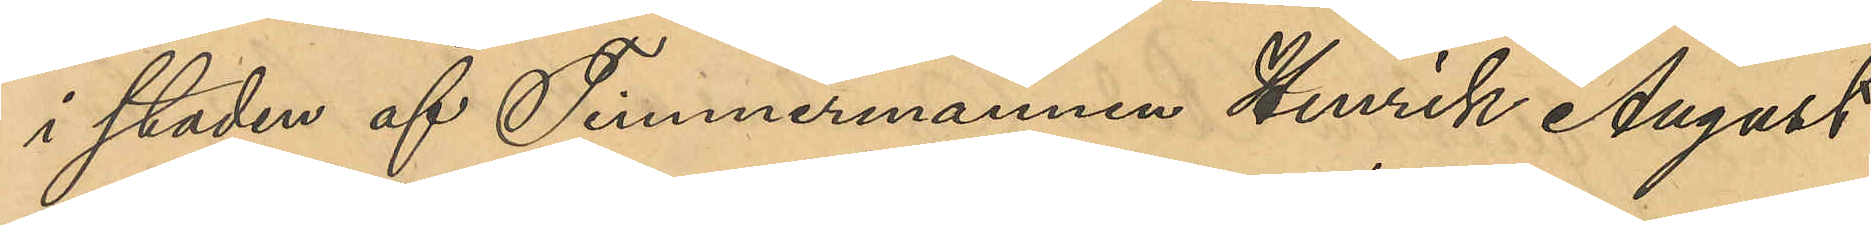i staden af Timmermannen Henrik August
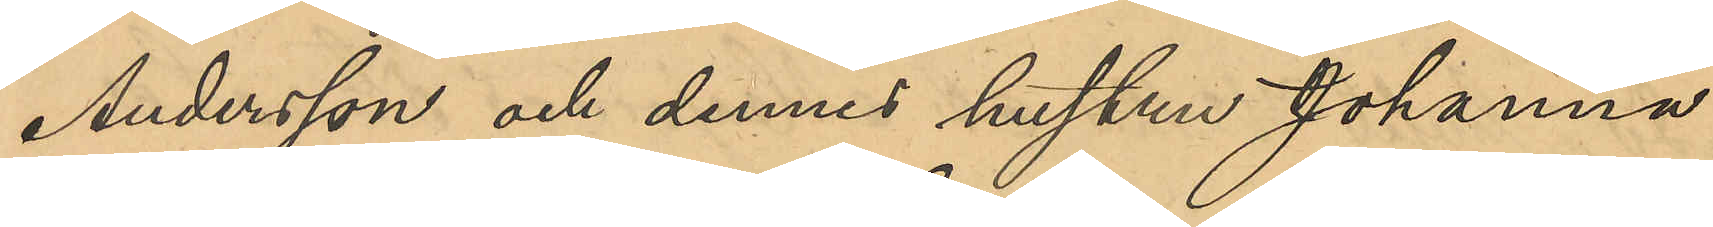Andersson och dennes hustru Johanna
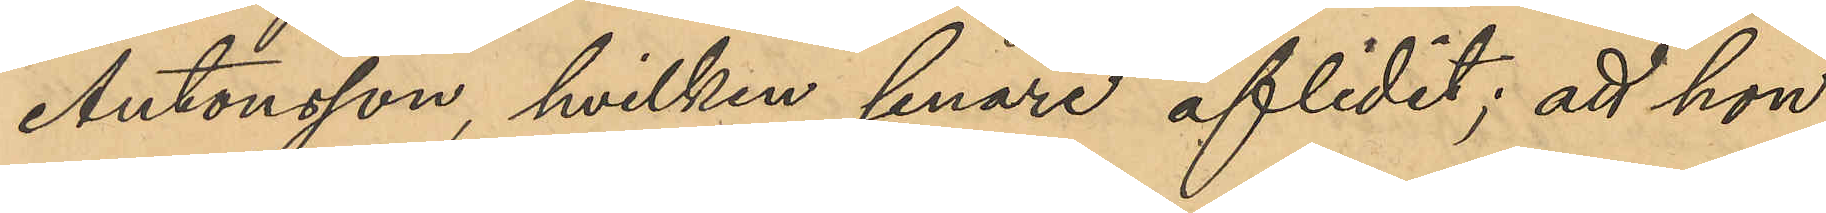Antonsson, hvilken senare aflidit; att hon 
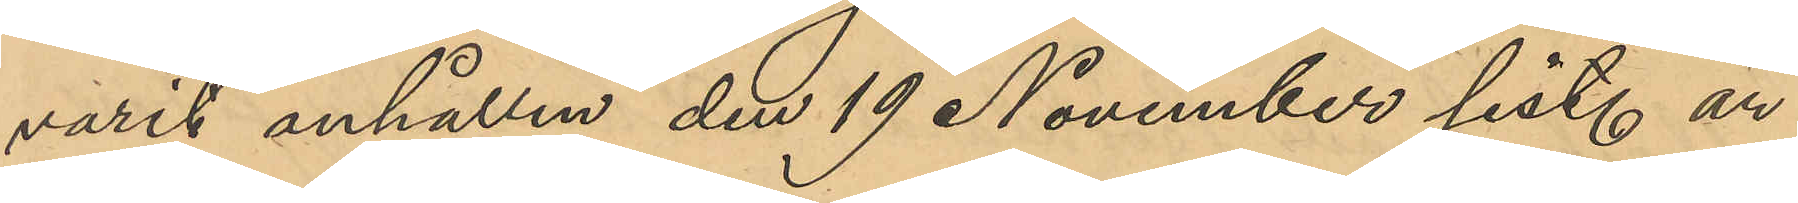varit anhållen den 19 November sist. år
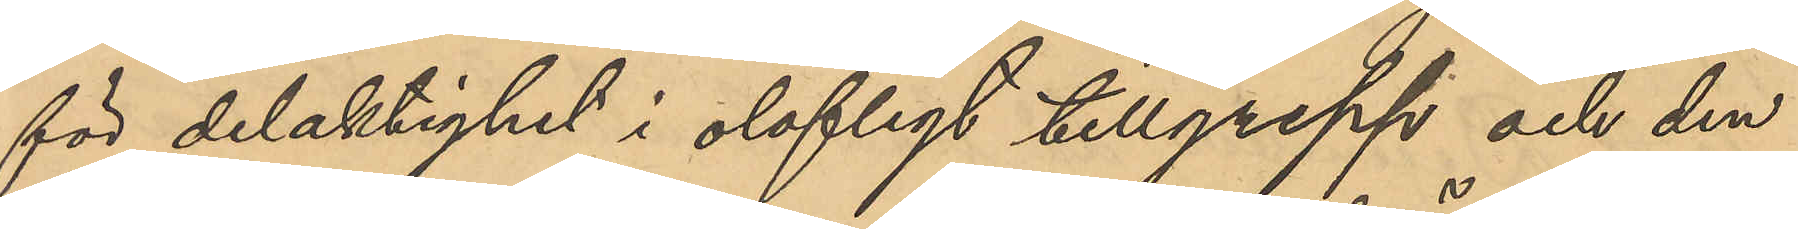för delaktighet i olofligt tillgrepp och den
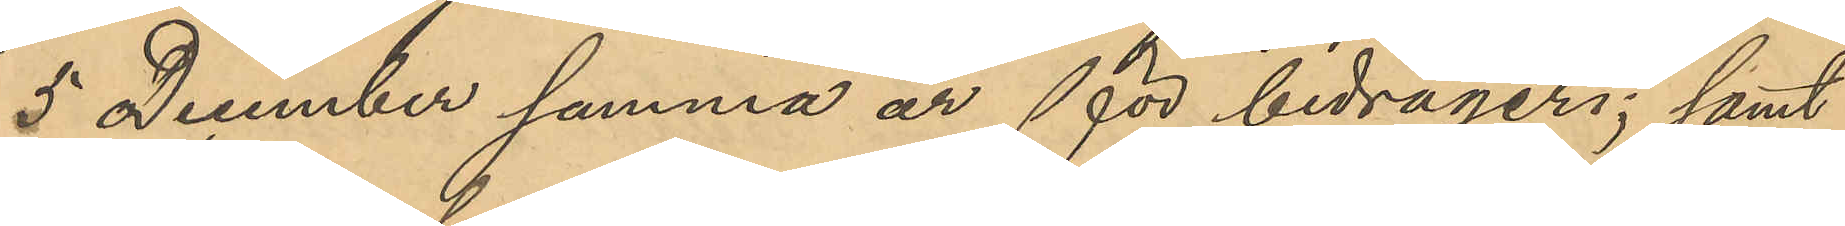5 December samma år för bedrägeri; samt
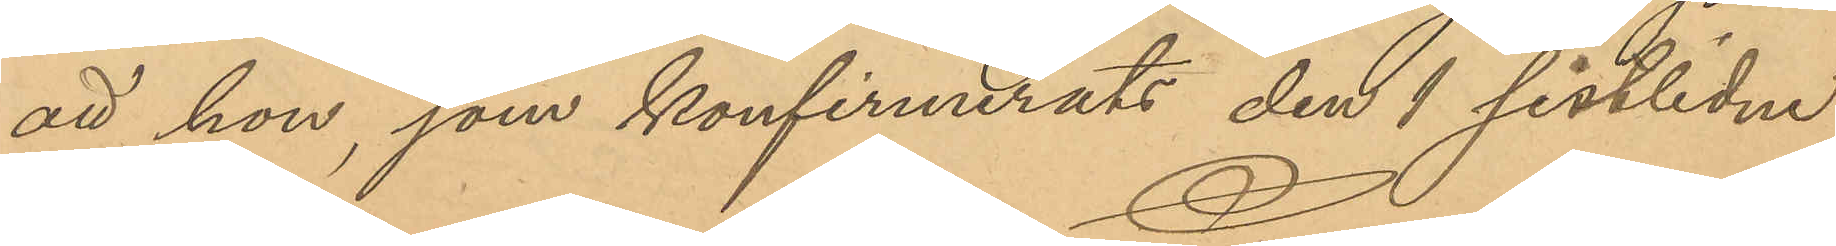att hon, som konfirmerats den 1 sistlidne
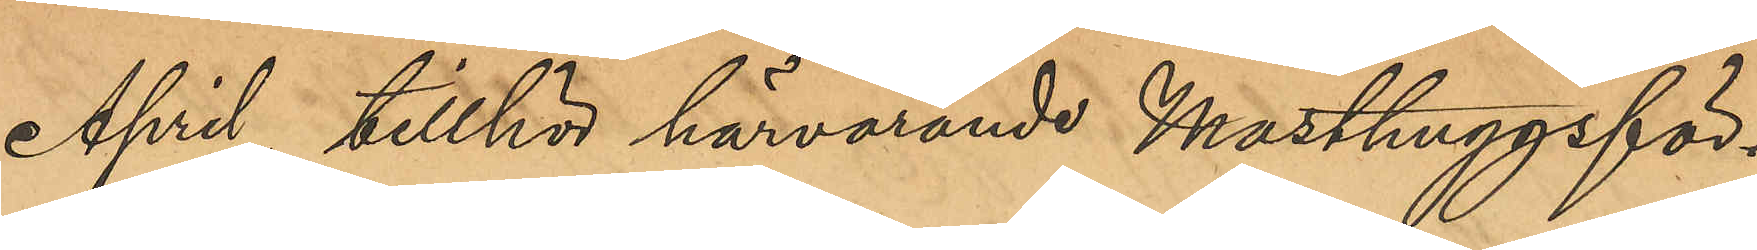April, tillhör härvarande Masthuggsför¬
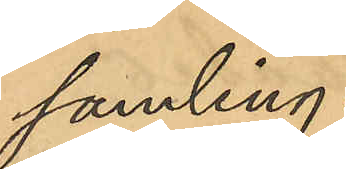samling.
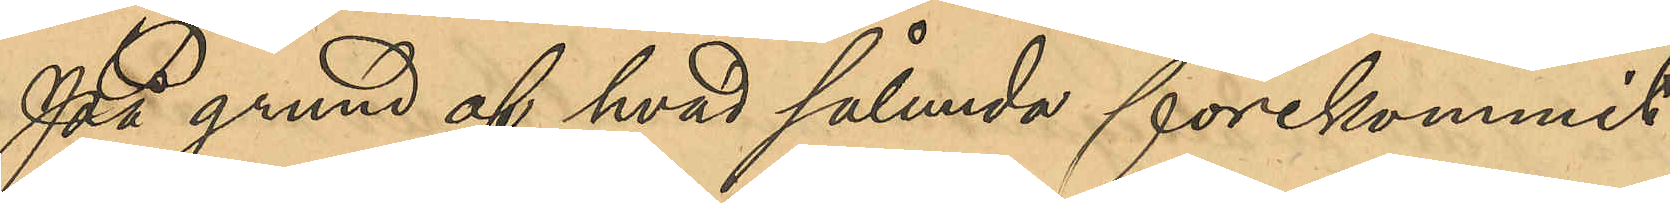På grund af hvad sållunda förekommit
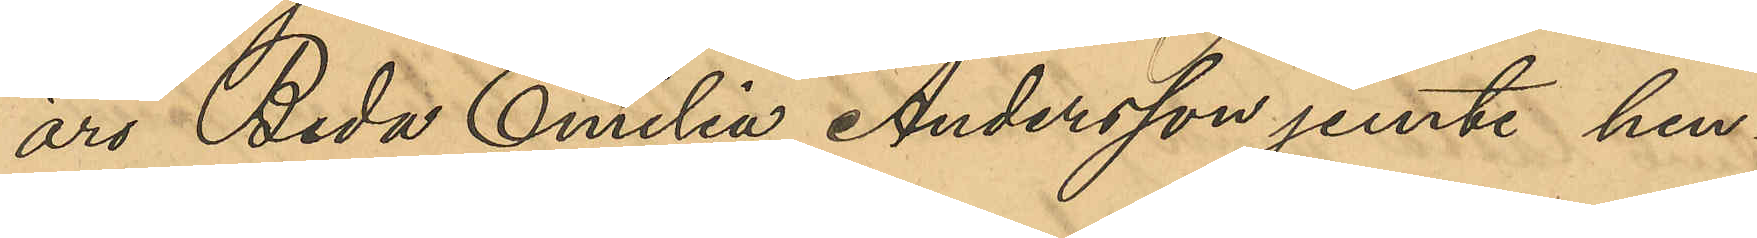äro Beda Emilia Andersson jemte hen¬
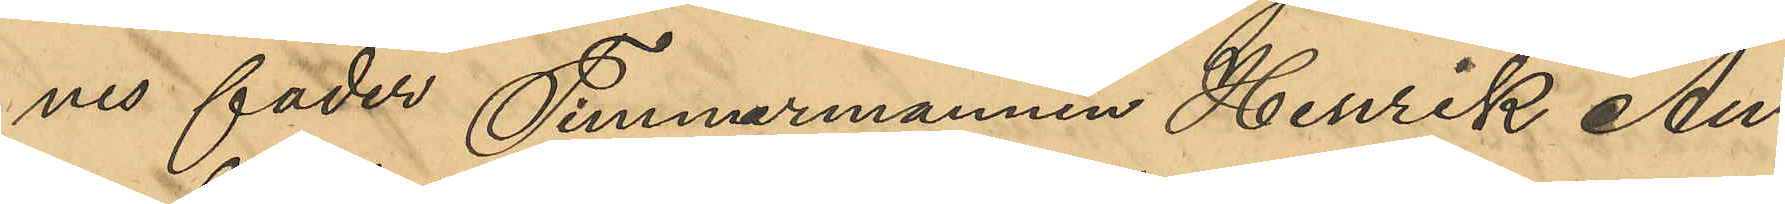nes fader Timmermannen Henrik Au¬
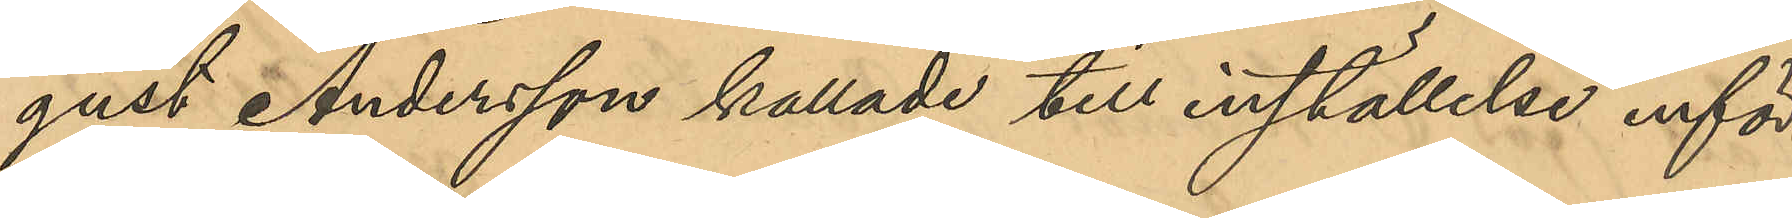gust Andersson kallade till inställdelse inför
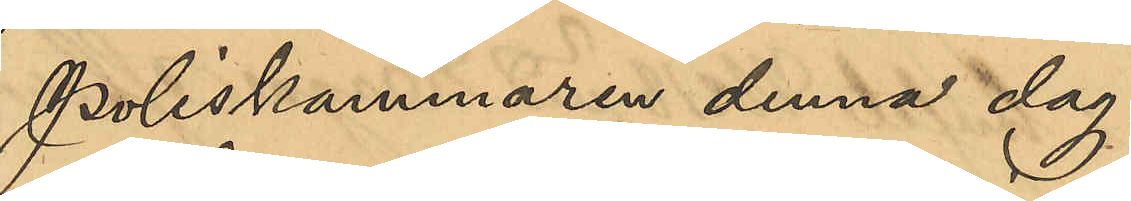Poliskammaren denna dag.
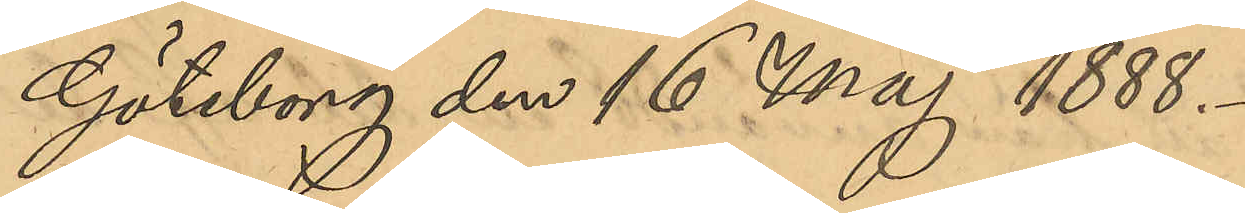Göteborg den 16 Maj 1888.
